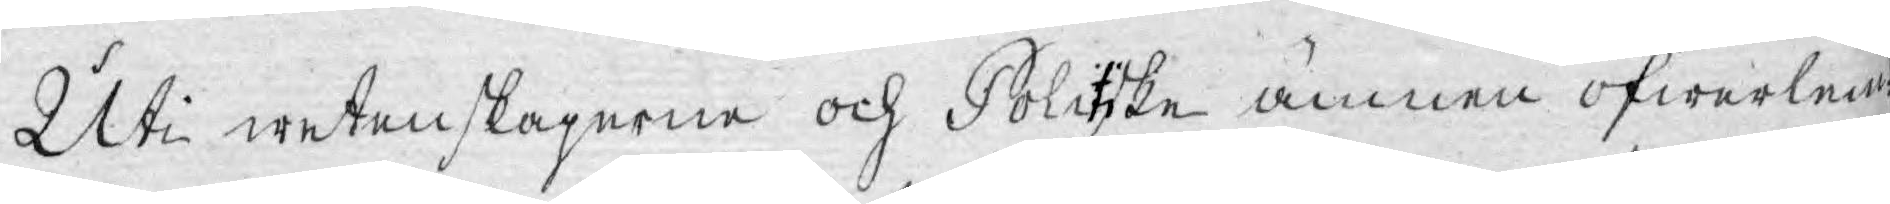Uti wetenskaperne och Politiske ämnen öfwerlem¬
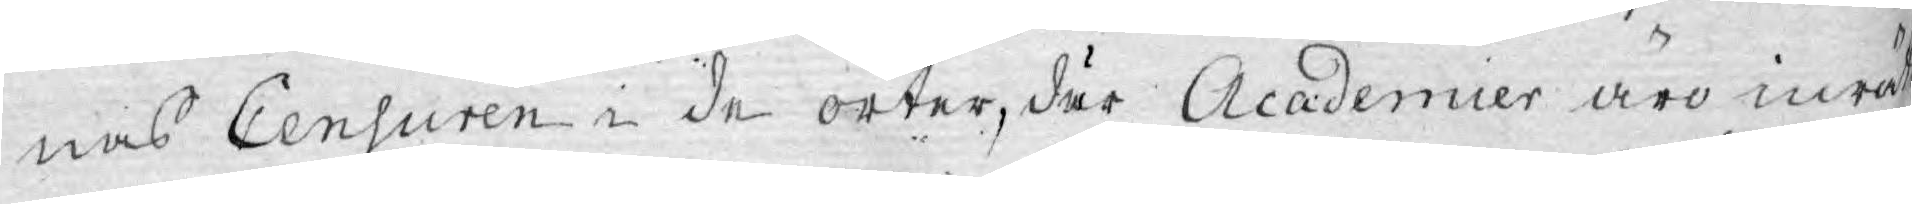nas Censuren i de orter, där Academier äro inrät¬
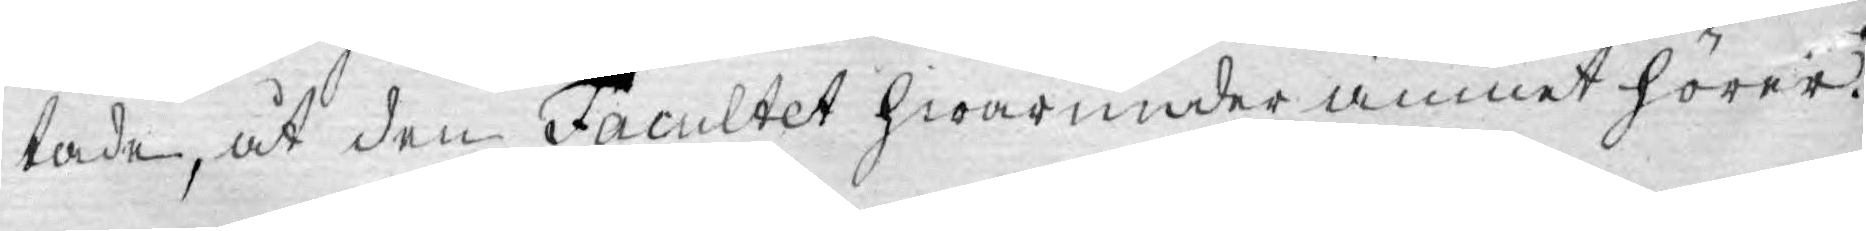tade, at den Facultet hwarunder ämnet hörer.
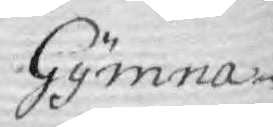Gymna-
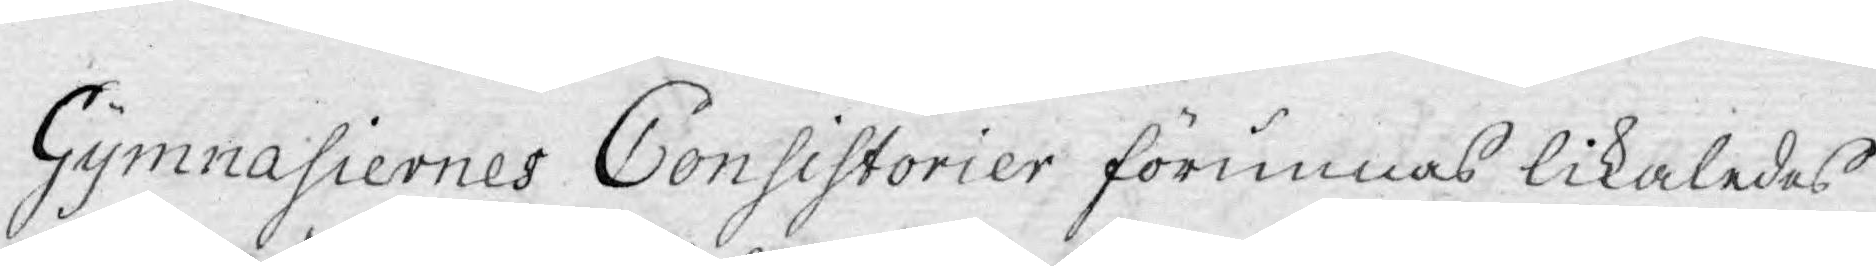Gymnasiernes Consistorier förunnas likaledes
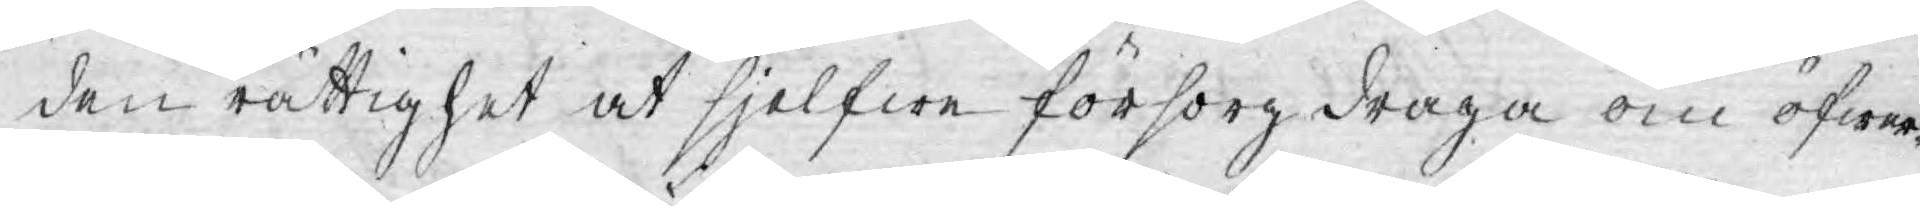den rättighet at sjelfwe försorg draga om öfwer¬
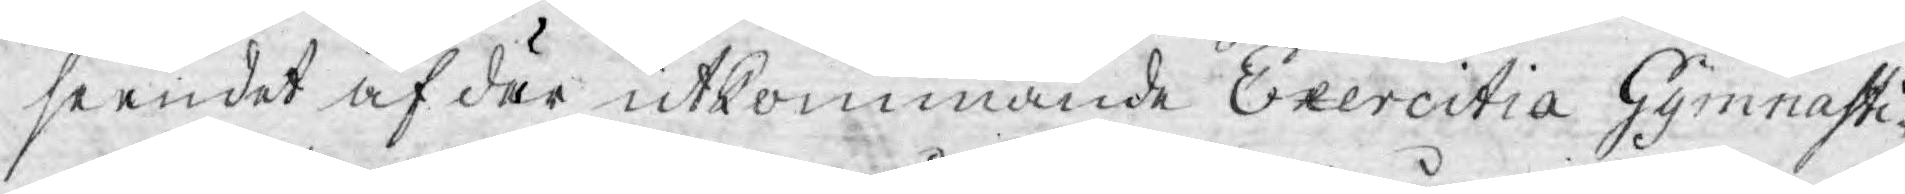seendet af där utkommande Exercitia Gymnasti¬
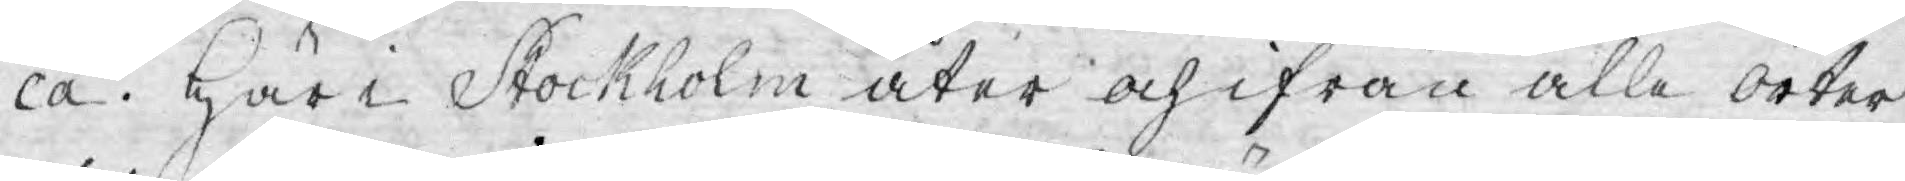ca. Här i Stockholm åter och ifrån alle orter
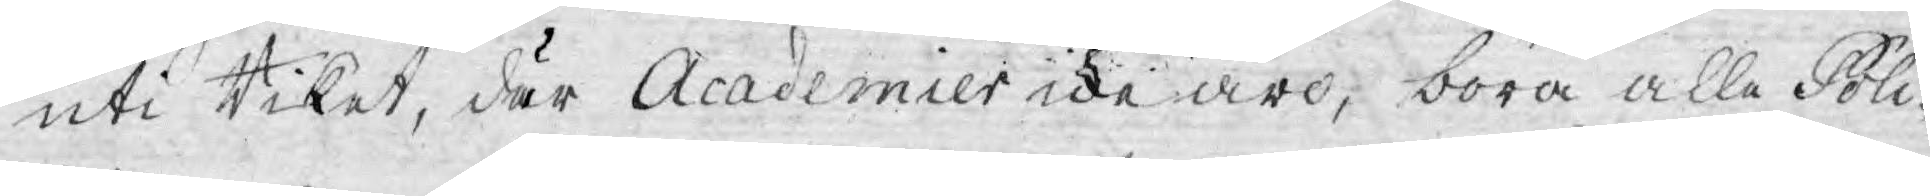uti Riket, där Academier icke äro, böra alla Poli¬
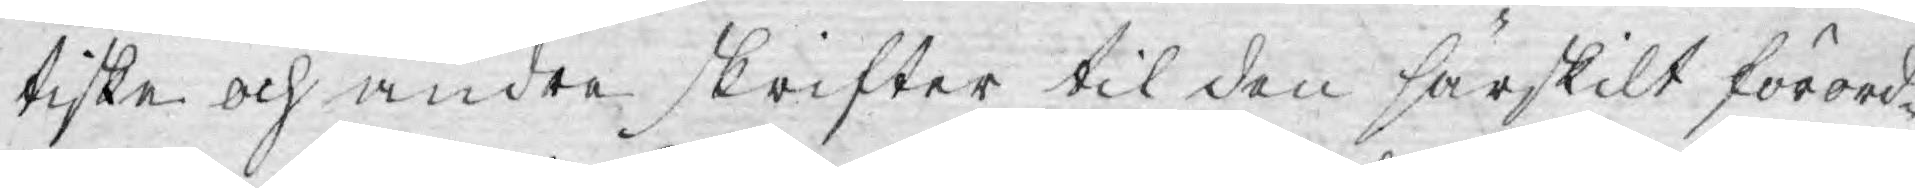tiske och andra skrifter til den särskilt förord¬
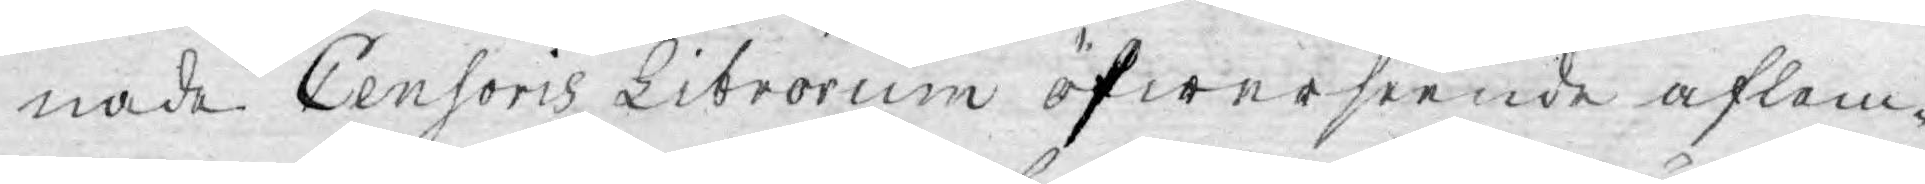nade Censoris Librorum öfwerseende aflem¬
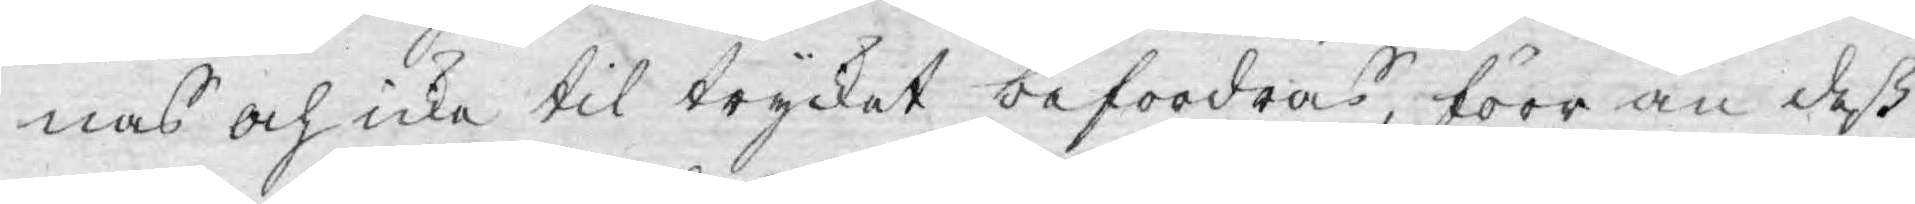nas och icke til trycket befordras, förr än deß
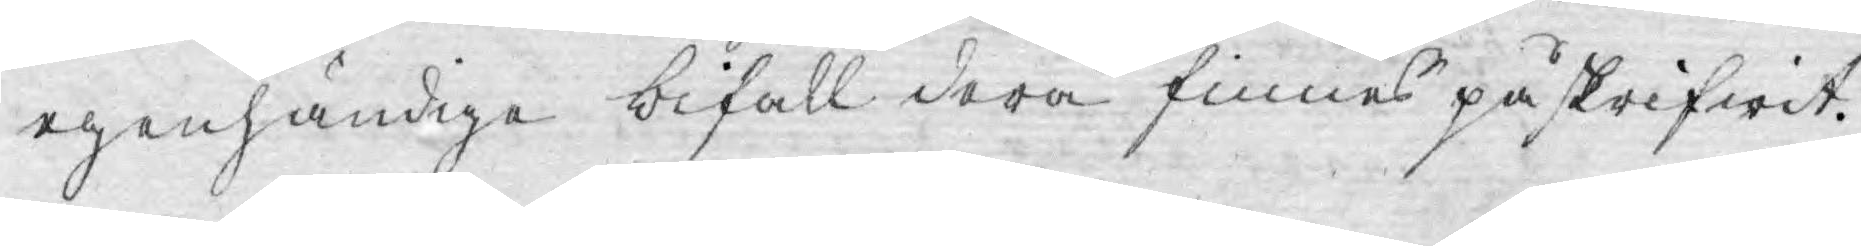egenhändiga bifall derå finnes påskrifwit.
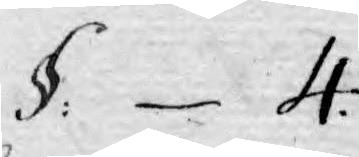§. 4.
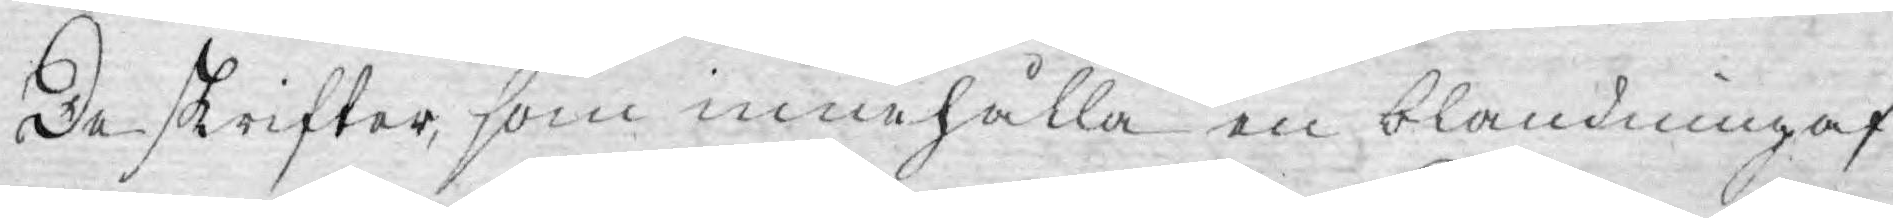De skrifter, som innehålla en blandning af
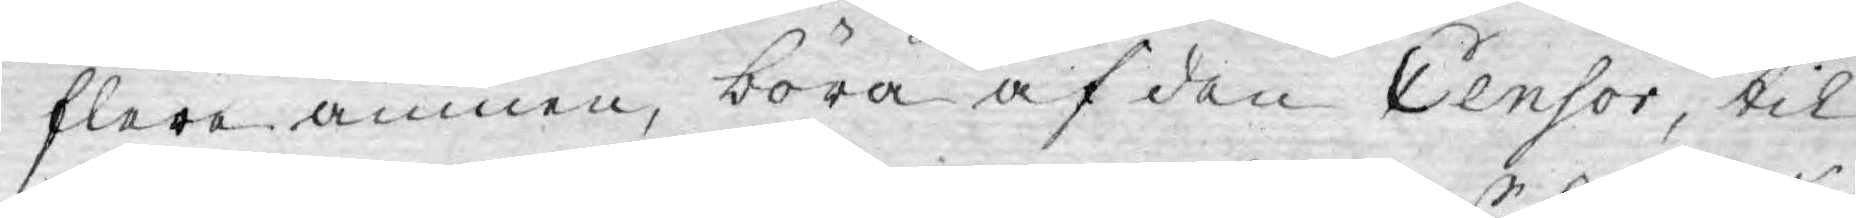flere ämnen, böra af den Censor, til
